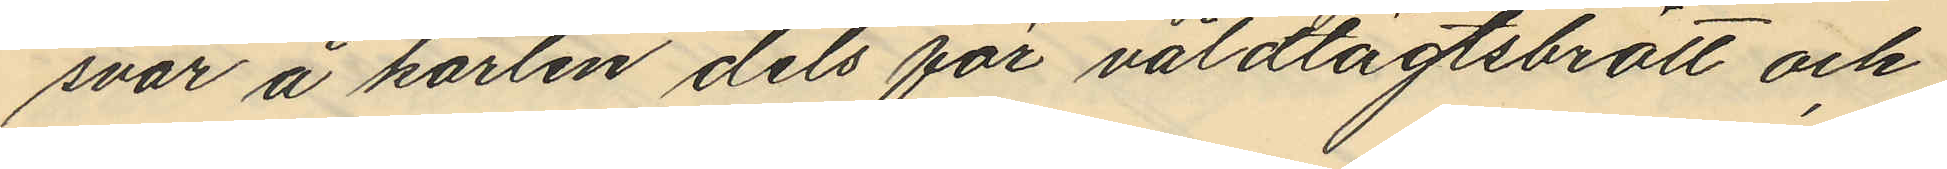svar å karlen dels för våldtägtsbrott och
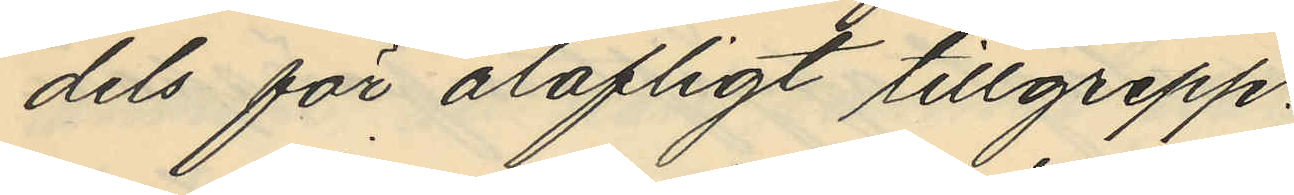dels för olofligt tillgrepp.
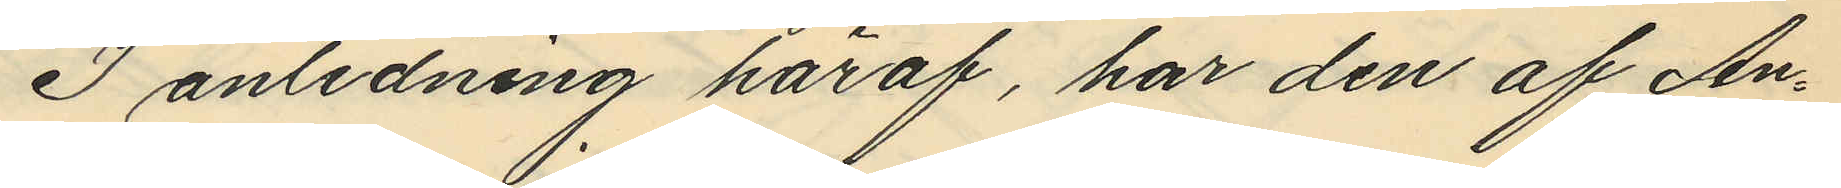I anledning häraf, har den af An¬
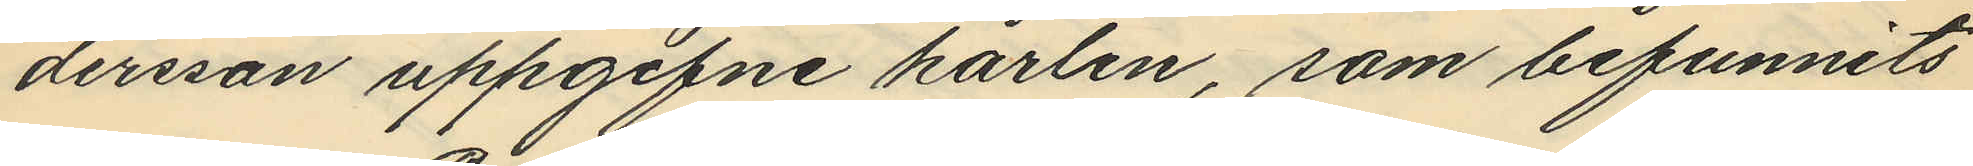dersson uppgifne karlen, som befunnits
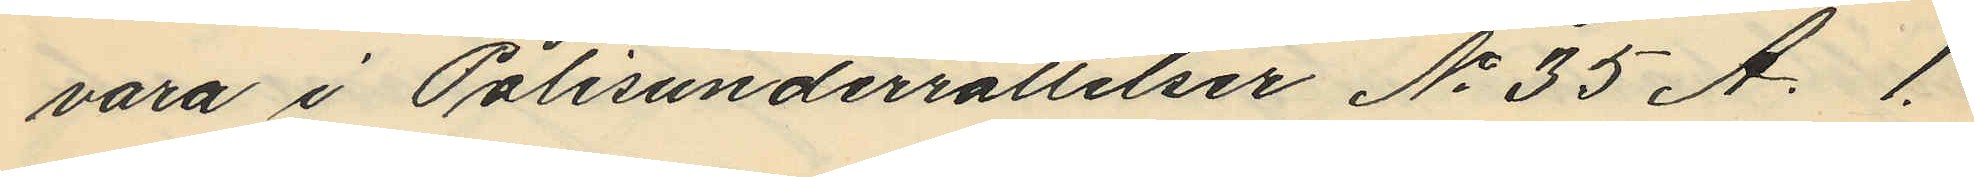vara i Polisunderrättelser No 35 A. 1.
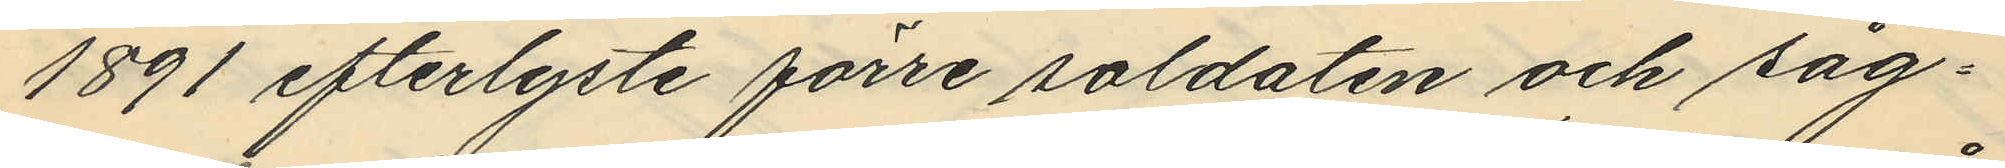1891 efterlyste förre soldaten och såg¬
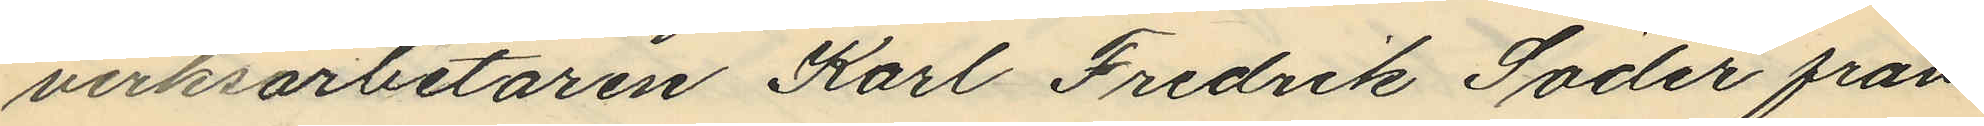verksarbetaren Karl Fredrik Söder från
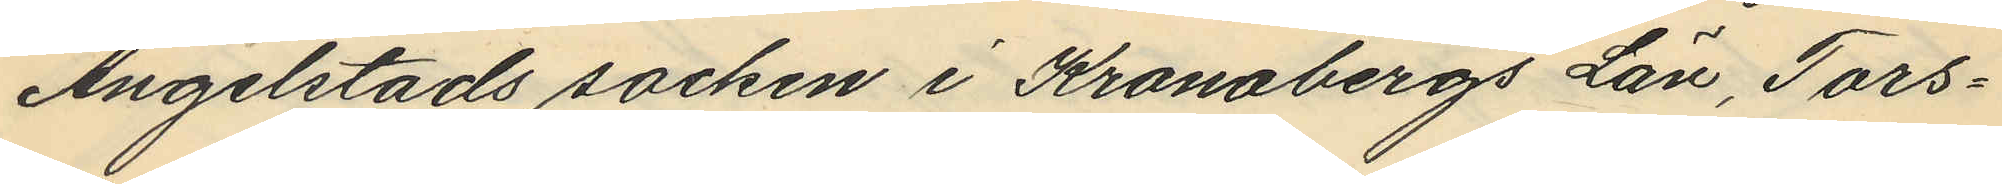Angelstads socken i Kronobergs Län, Tors¬
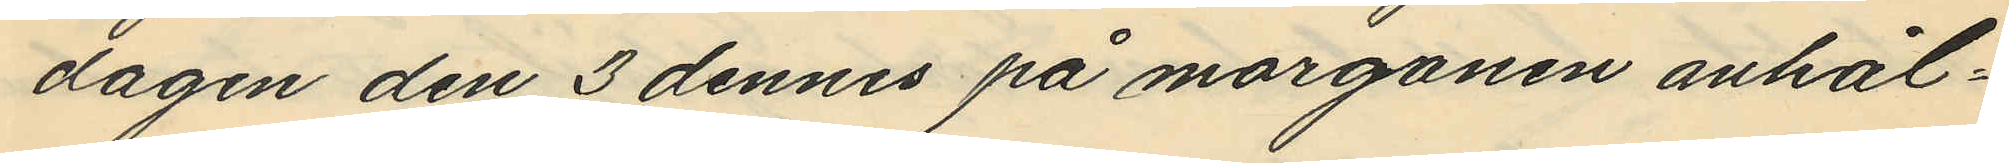dagen den 3 dennes på morgonen anhål¬
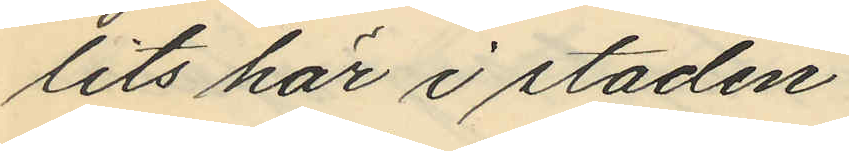lits här i staden.
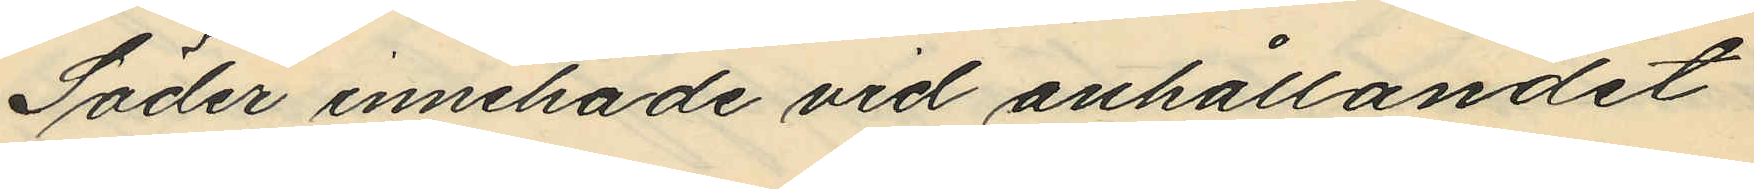Söder innehade vid anhållandet
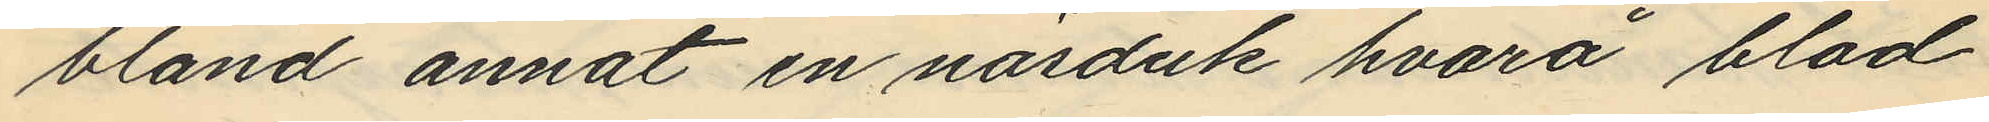bland annat en näsduk hvarå blod
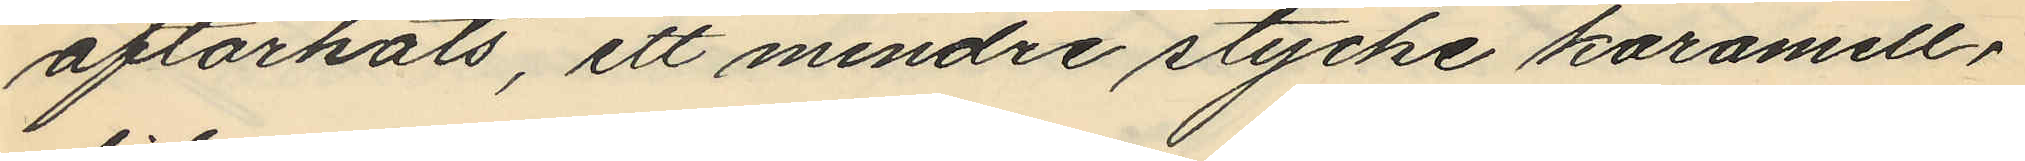aftorkats, ett mindre stycke karamell¬
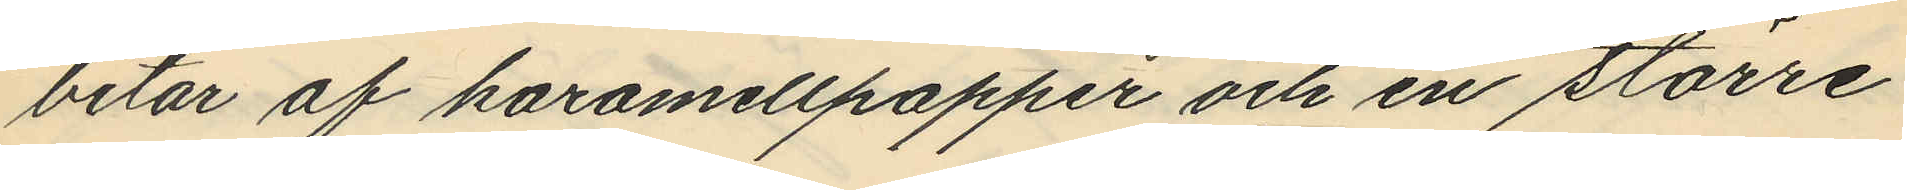bitar af karamellpapper och en större
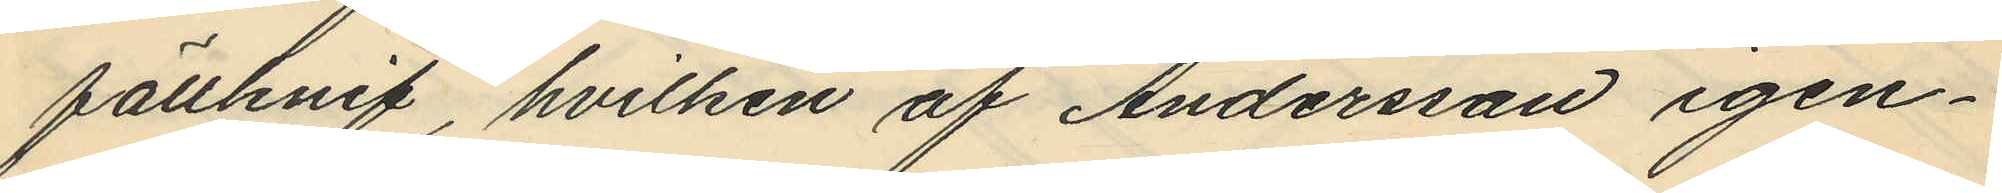fällknif, hvilken af Andersson igen¬
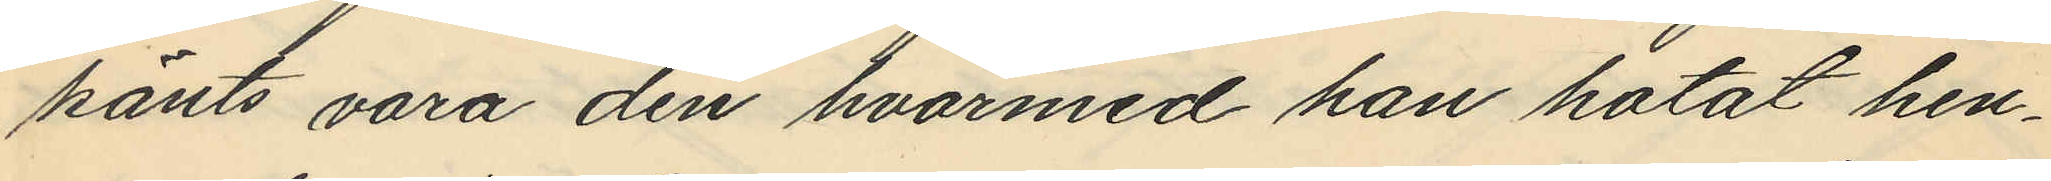känts vara den hvarmed han hotat hen¬
